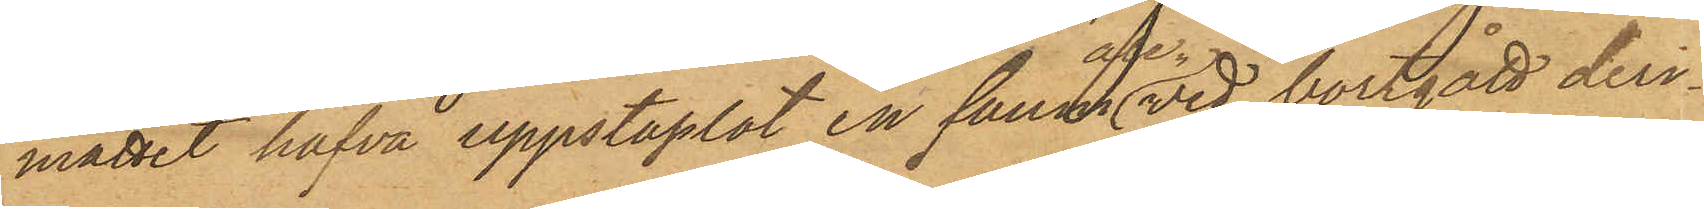måttet hafva uppstaplat en famn af ved, bortgått deri¬
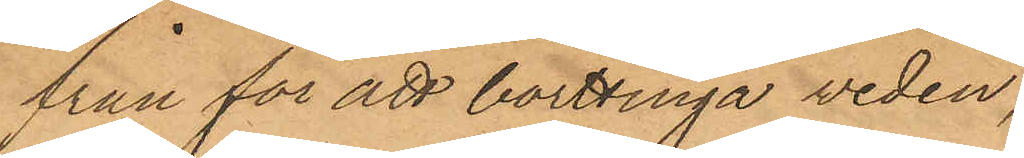från för att borttinga veden,
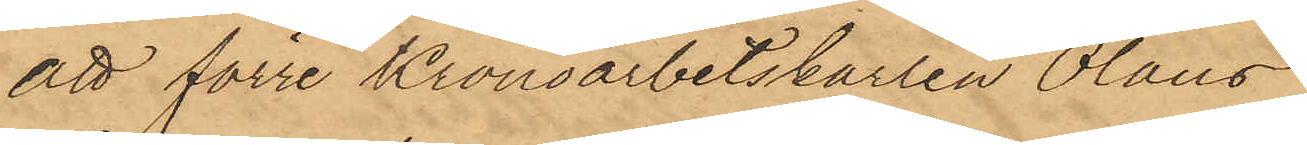att förre Kronoarbetskarlen Olaus
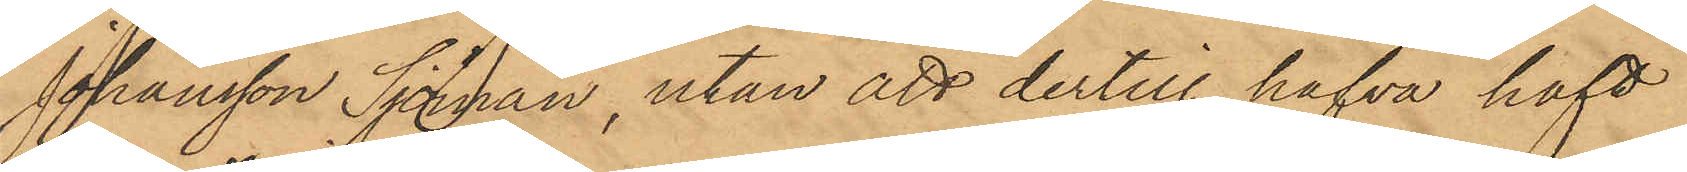Johansson Sjöman, utan att dertill hafva haft
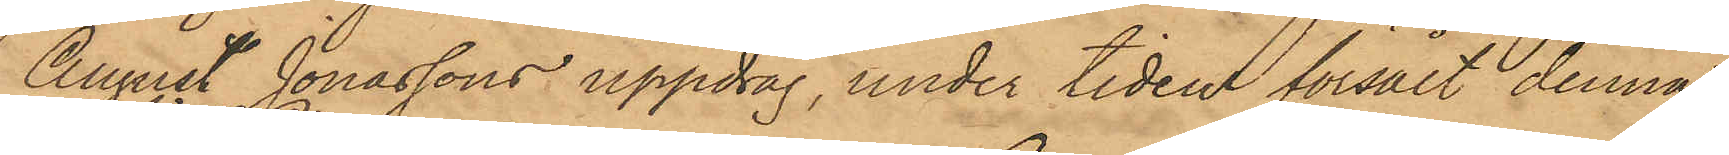August Jonassons uppdrag, under tiden försålt denna
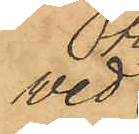ved
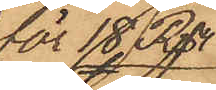för 18 Rdr
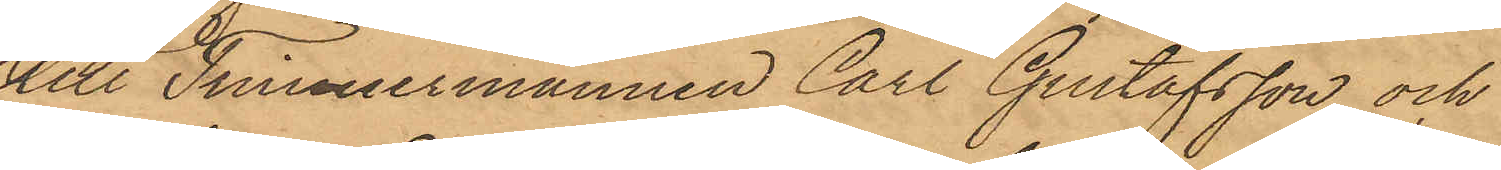till Timmermannen Carl Gustafsson och
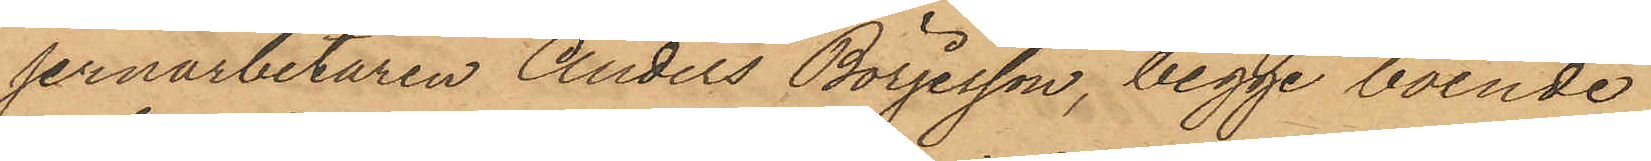jernarbetaren Anders Börjesson, begge boende
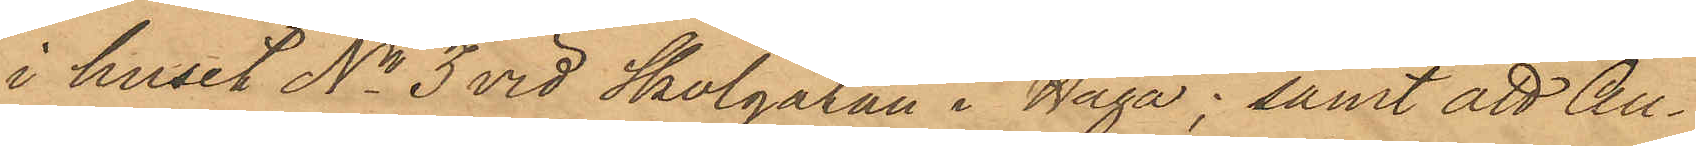i huset No 3 vid Skolgatan i Haga; samt att Au¬
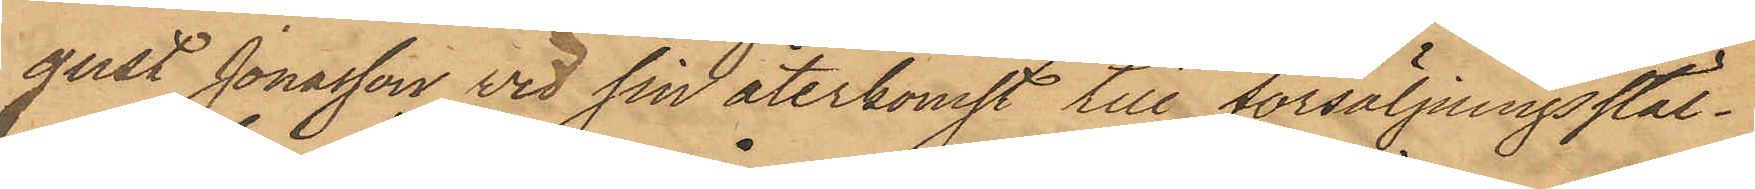gust Jonasson vid sin återkomst till försäljningsstäl¬
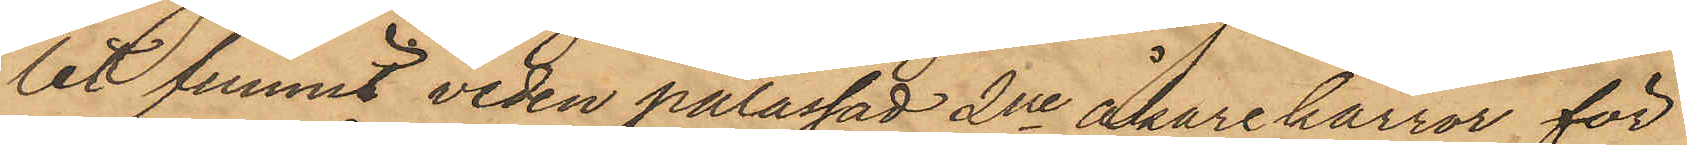let funnit veden pålassad 2ne åkarekärror för
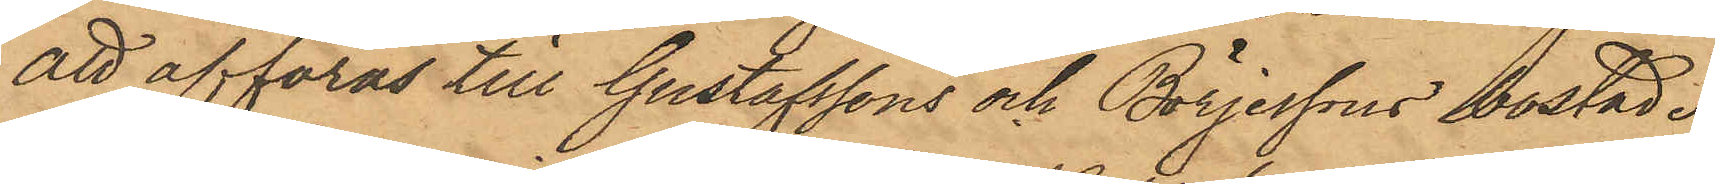att afföras till Gustafssons och Börjessons bostad.
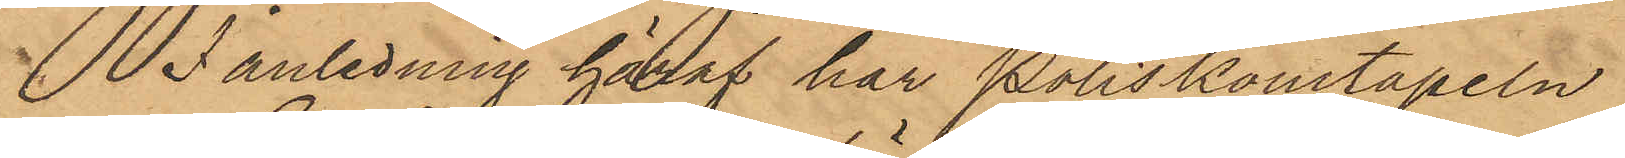I anledning häraf har Poliskonstapeln
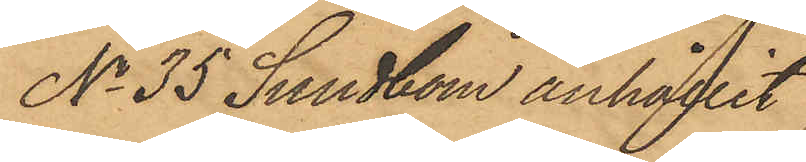No 35 Sundbom anhållit
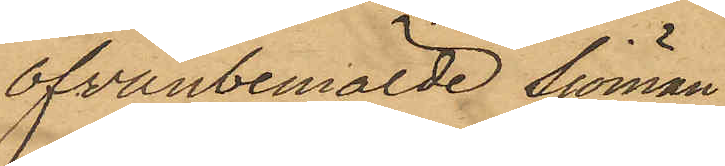ofvanbemälde Sjöman,
